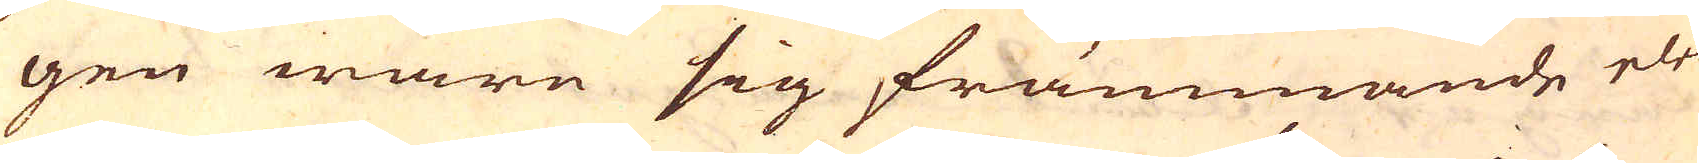gen ware sig främmande eler
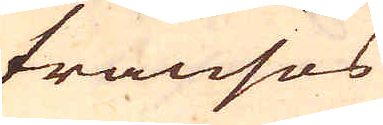fransos
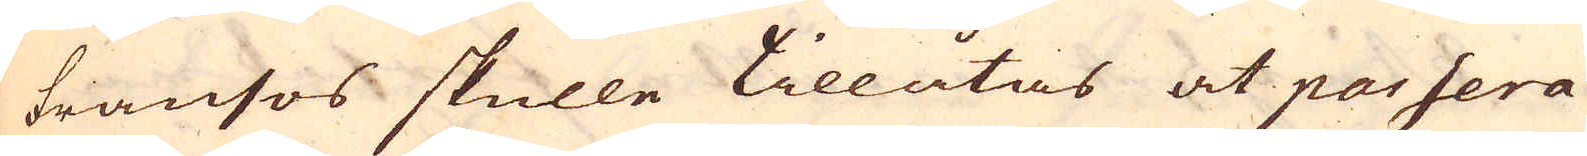fransos skulle tillåtas at passera
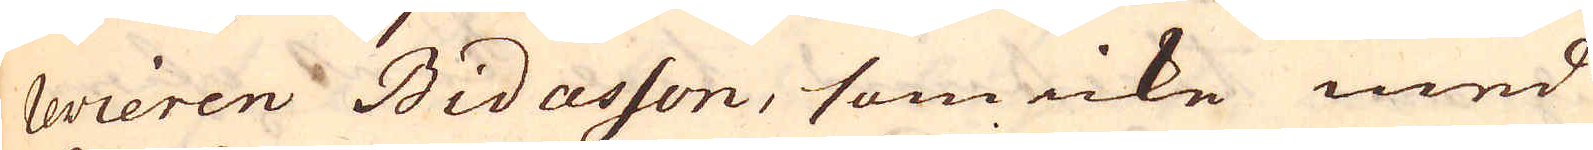revieren Bidasson, som icke med
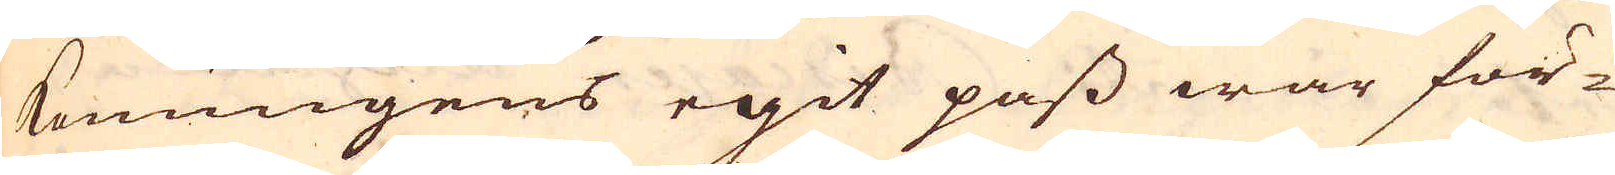Konungens egit pass war för-
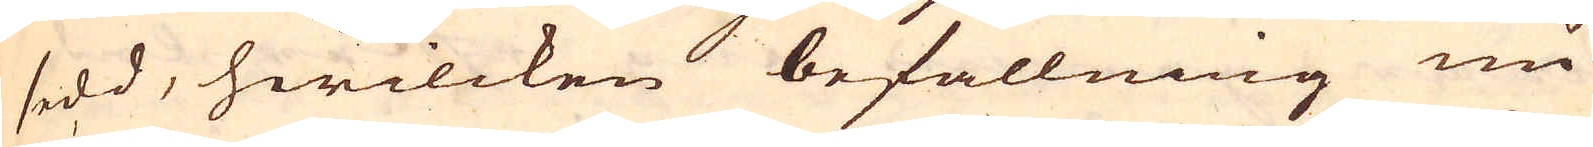sedd, hwilcken befallning nu
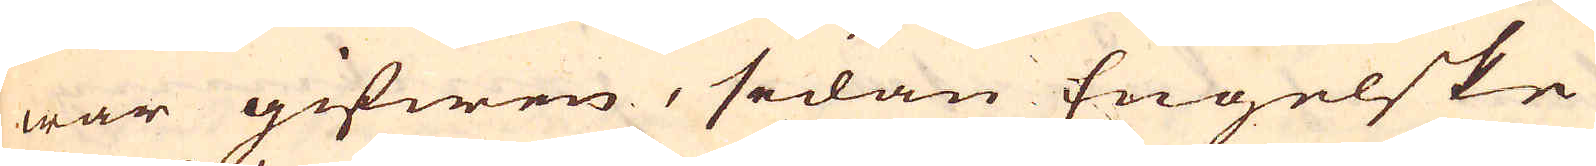war gifwen, sedan Engelske
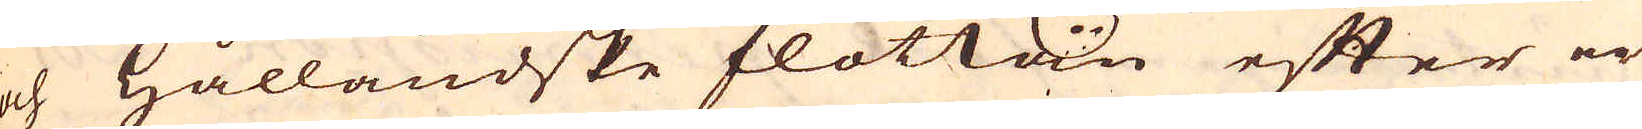och Hålländske flottan efter er-
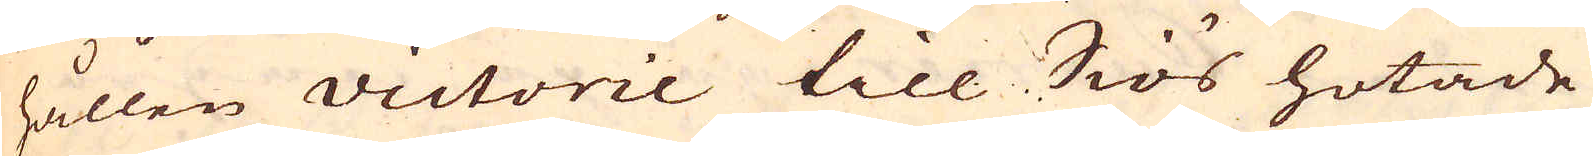hållen victorie till Siös hotade
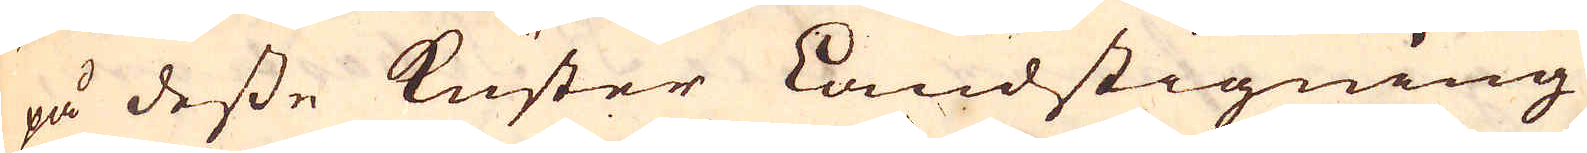på desse Kuster Landstigning
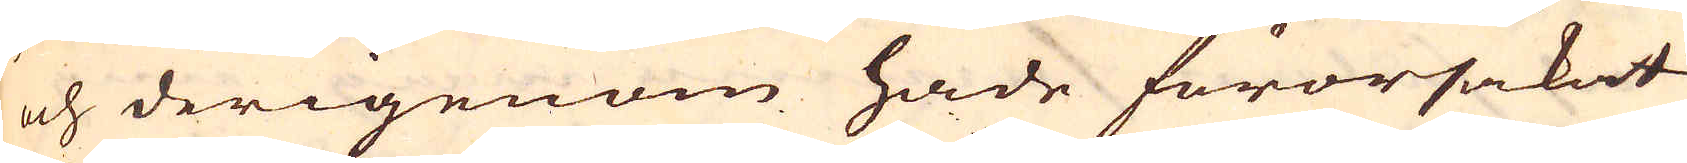och derigenom hade förorsakat
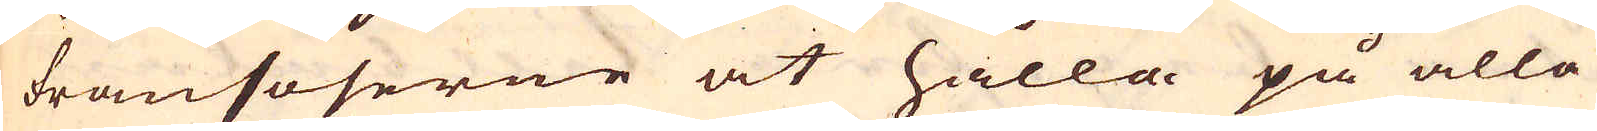fransoserne at hålla på alla
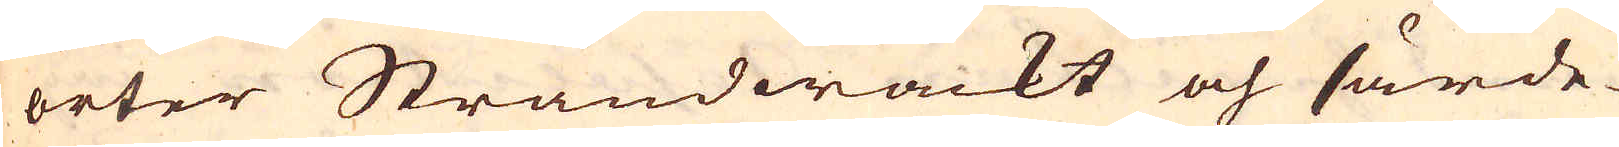orter Strandwackt och särde-
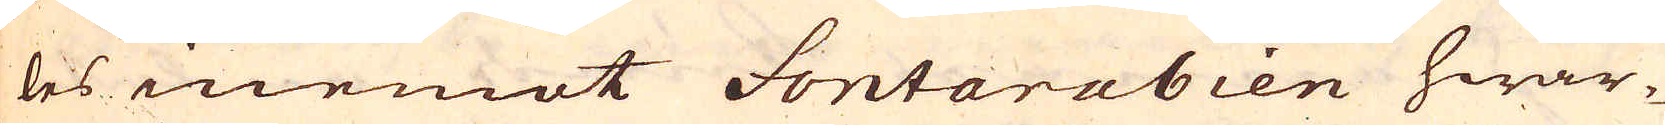les inemot Fontarabien hwar-
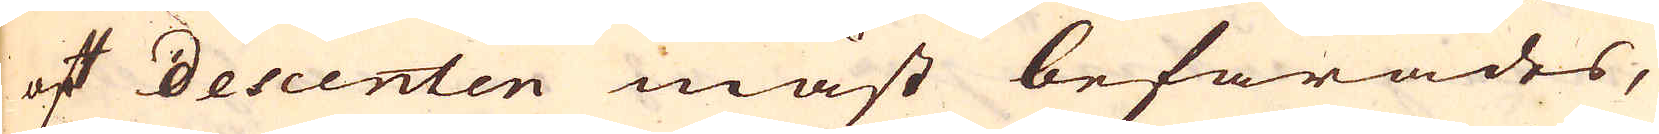af descenten mäst befarades,
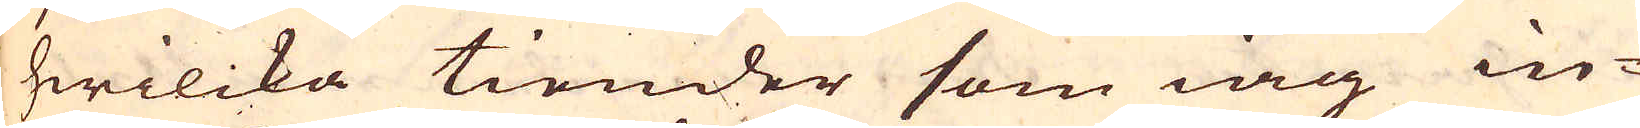hwilcka tiender som iag in-
